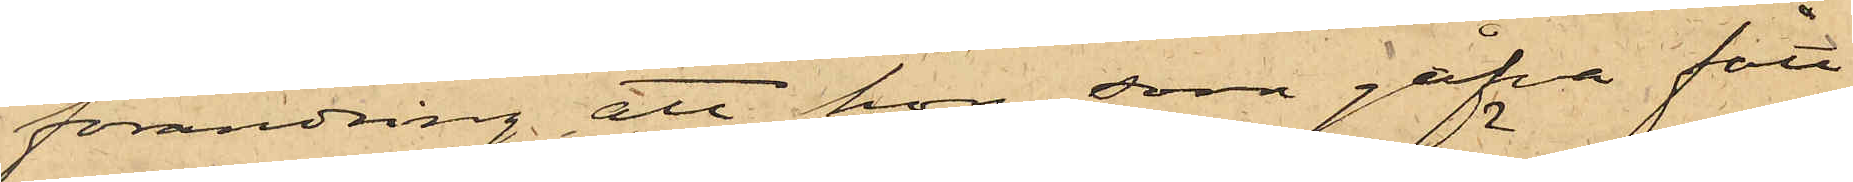förändring att hon som gåfva fått
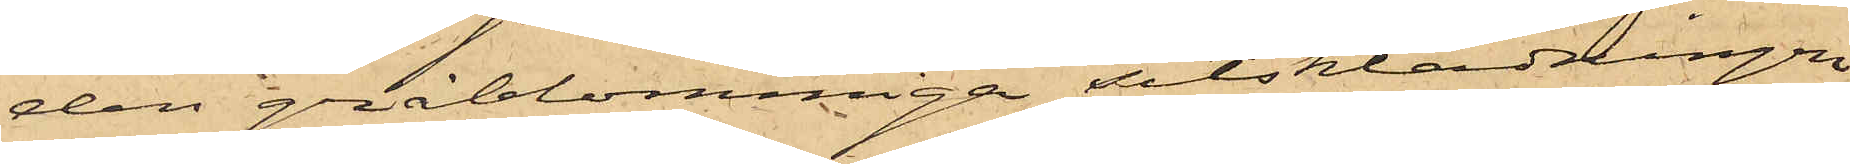den gråblommiga sitsklädningen,
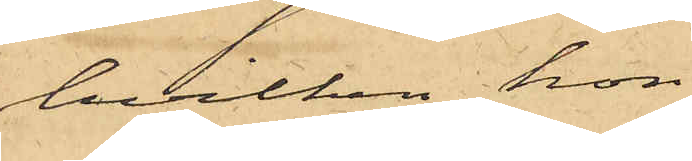hvilken hon
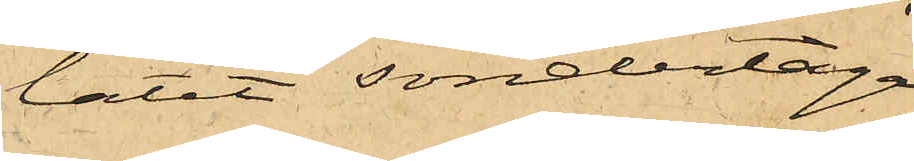låtit söndertaga
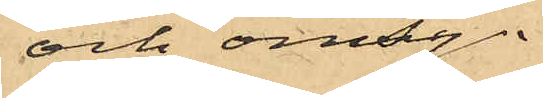och omsy.
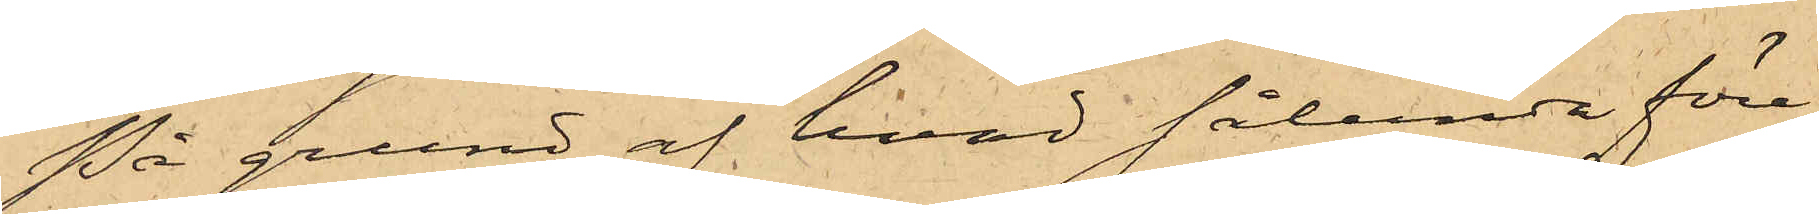På grund af hvad sålunda före¬
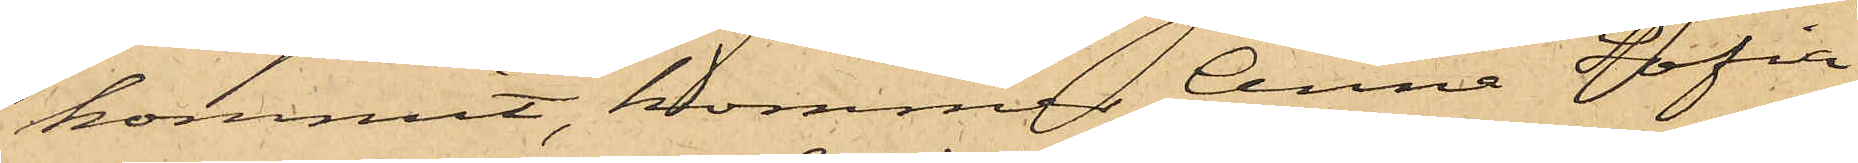kommit, kommer Anna Sofia
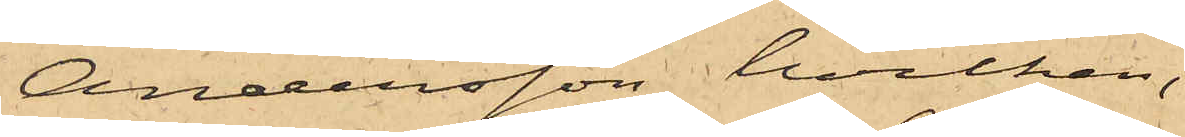Andersson, hvilken,
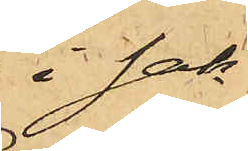i sak¬
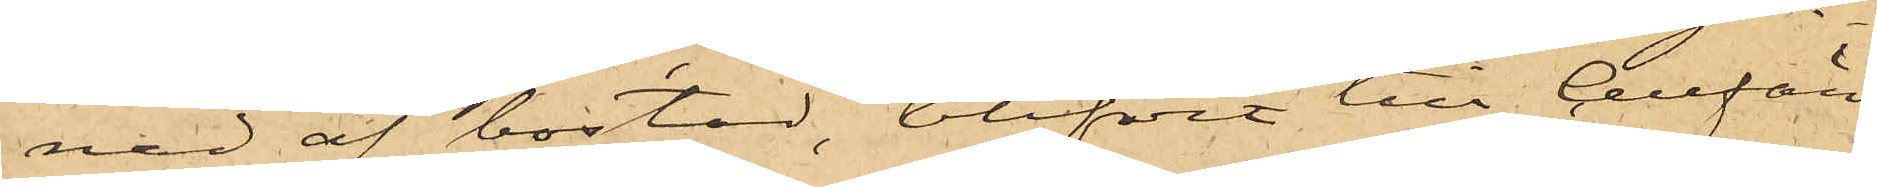nad af bostad, blifvit till Cellfän¬
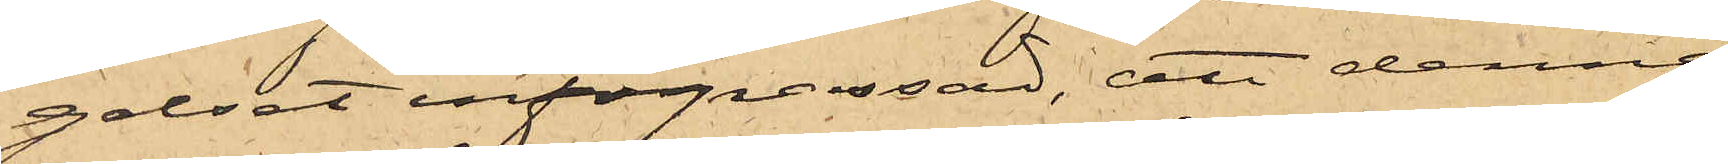gelset införpassad, att denna
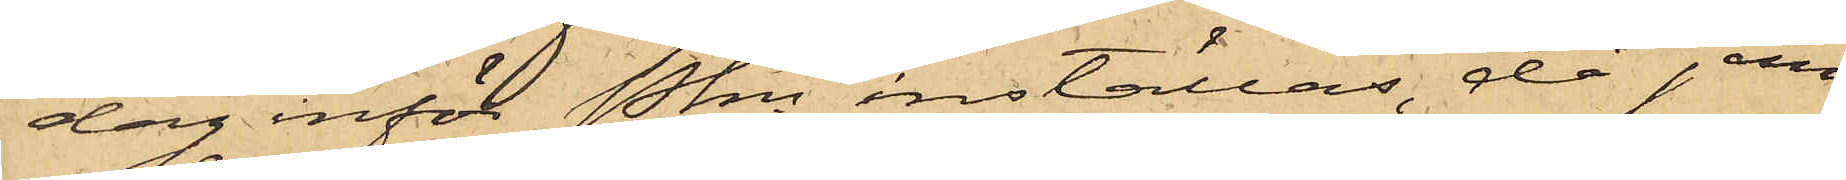dag inför Pkn inställas, då jem¬
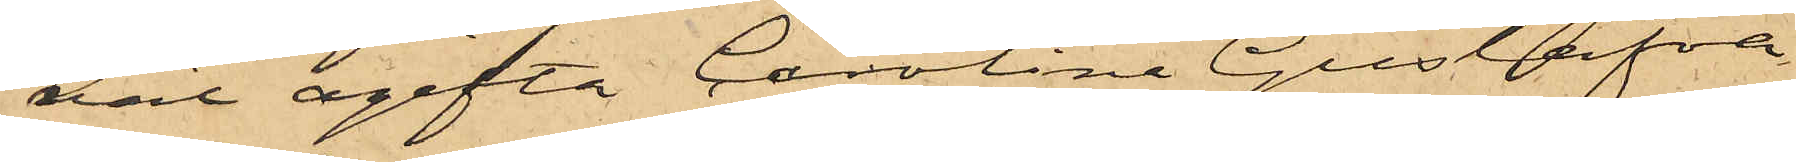väl ogifta Carolina Gustafva
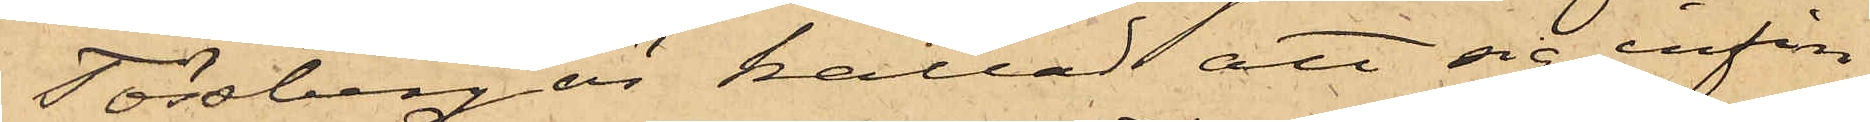Tössberg är kallad att sig infin¬
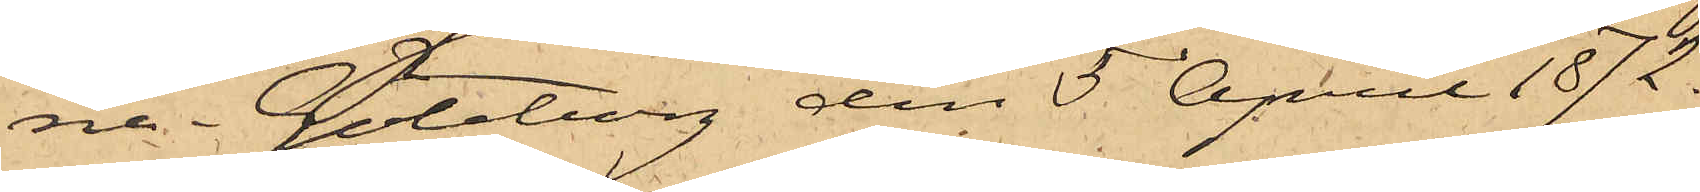na. Göteborg den 5 April 1872.
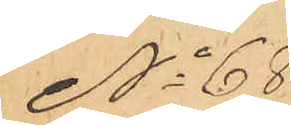No 68
